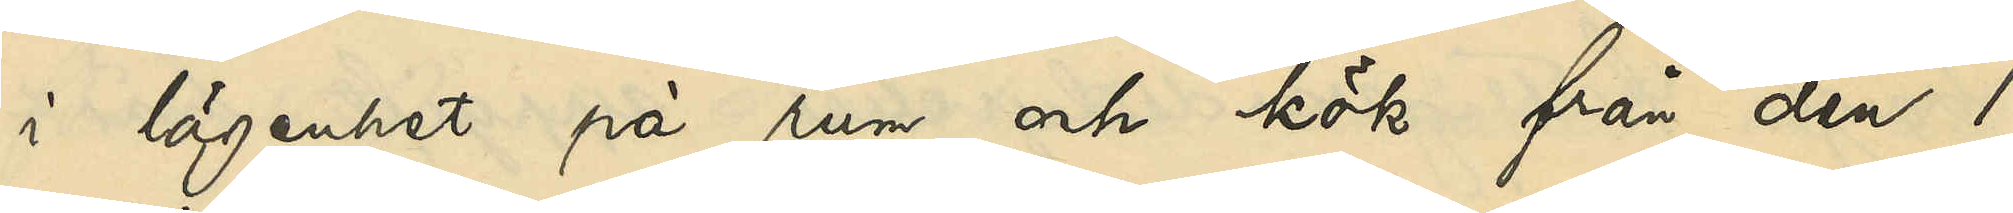i lägenhet på rum och kök från den 1
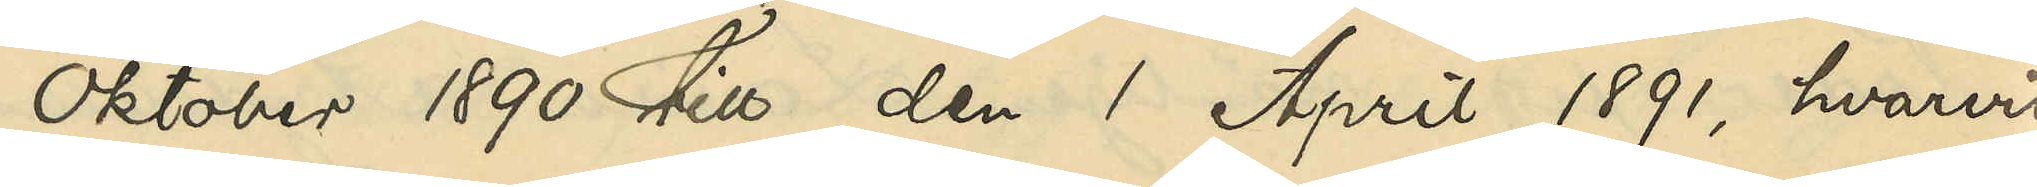Oktober 1890 till den 1 April 1891, hvarvid
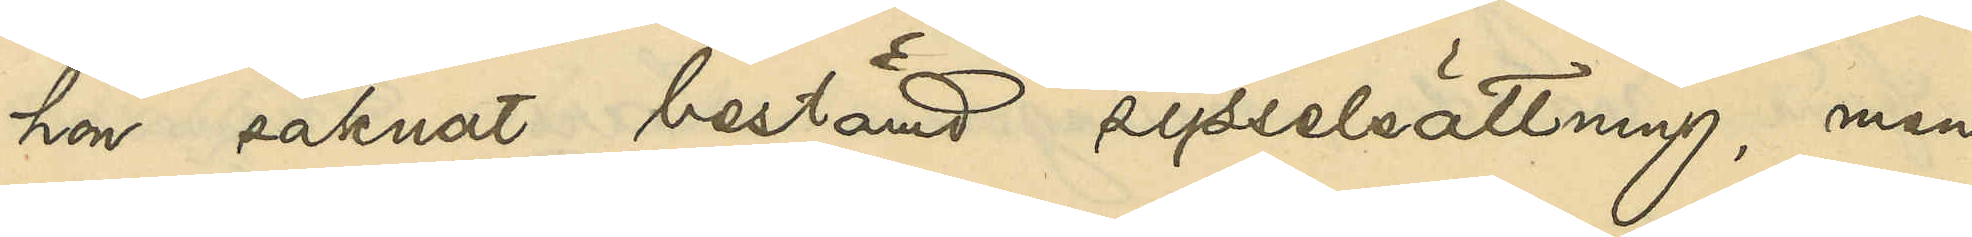hon saknat bestämd sysselsättning, men
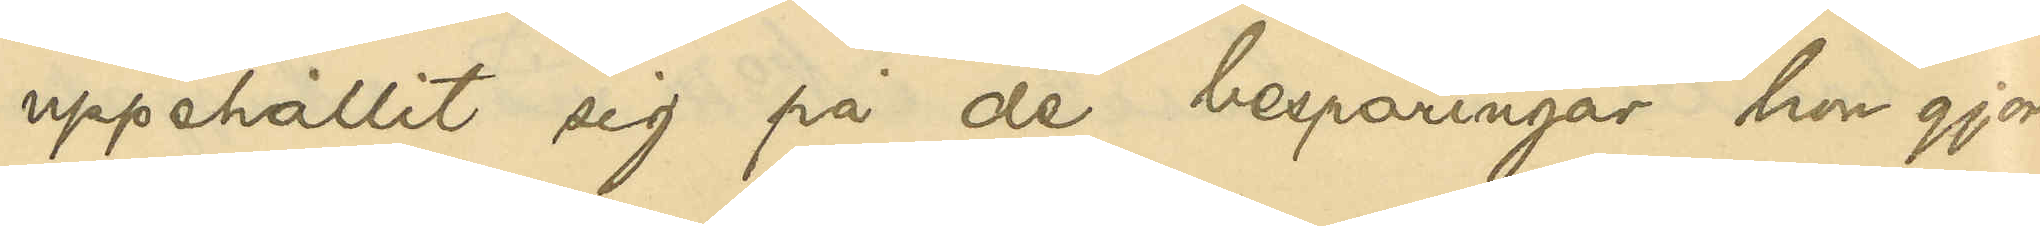uppehållit sig på de besparingar hon gjort
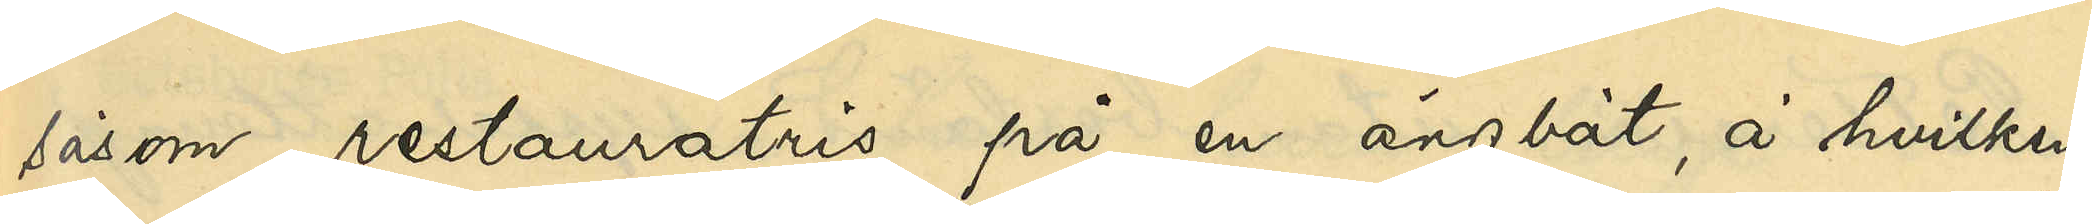såsom restauratris på en ångbåt, å hvilken
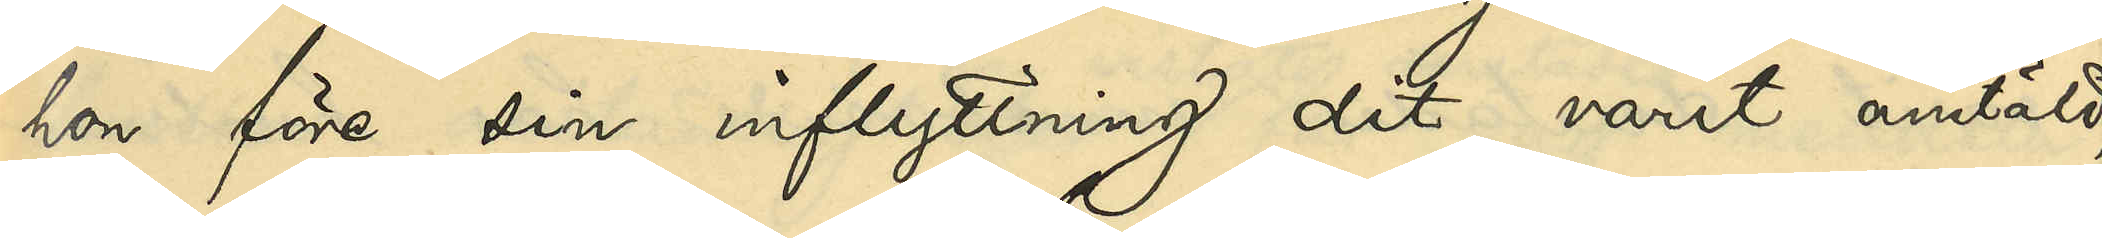hon före sin inflyttning dit varit anstäld;
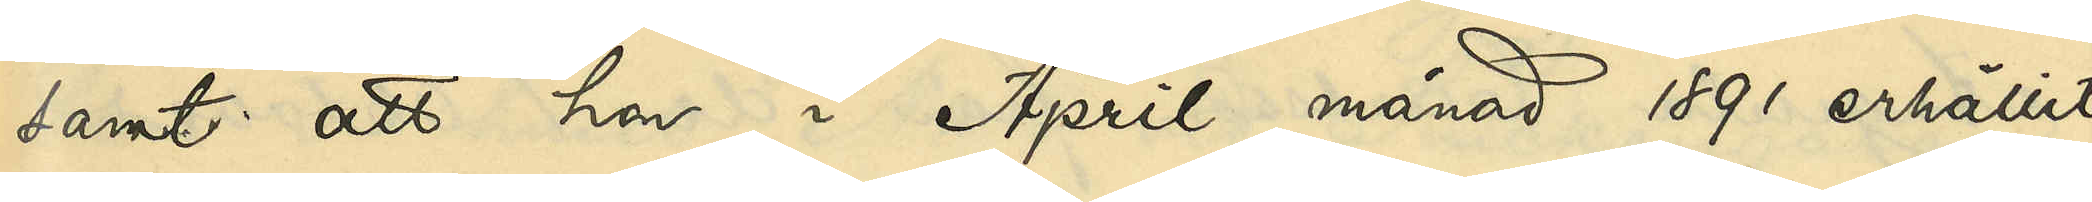samt att hon i April månad 1891 erhållit
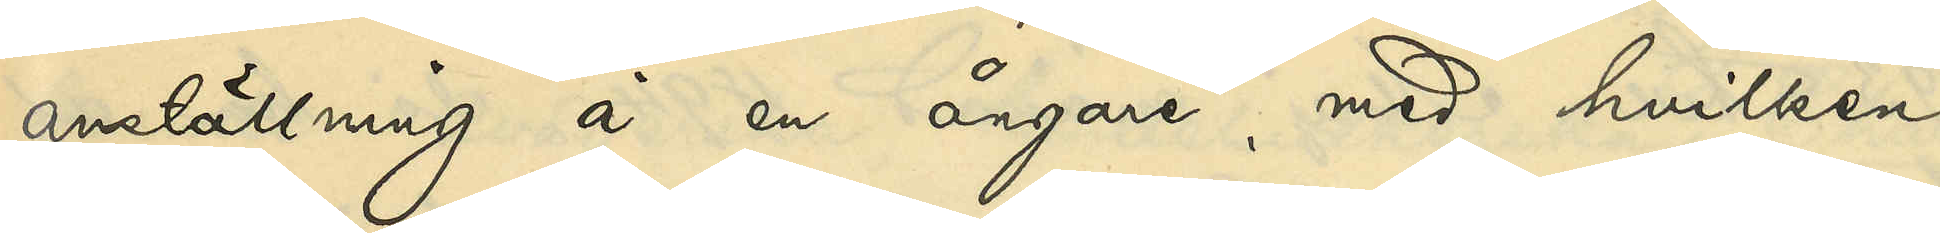anställning å en ångare, med hvilken
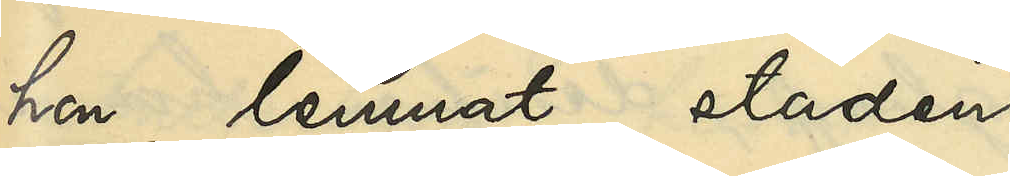hon lemnat staden.
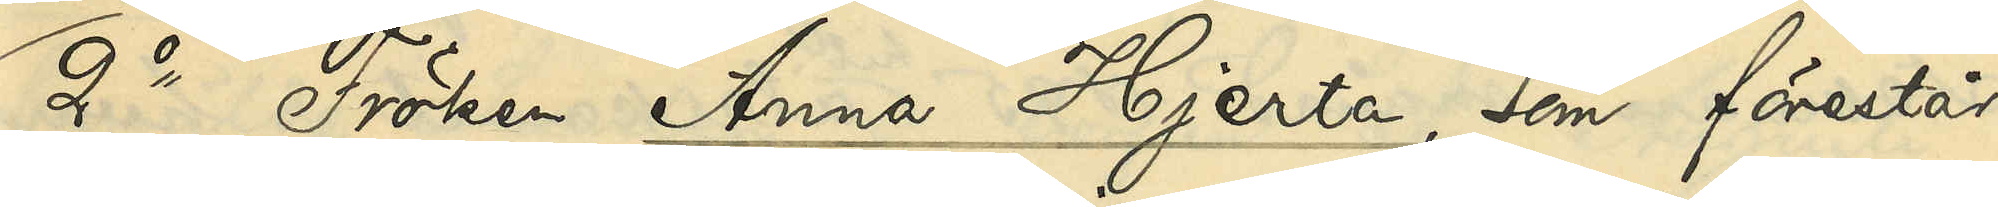2o Fröken Anna Hjerta, som förestår
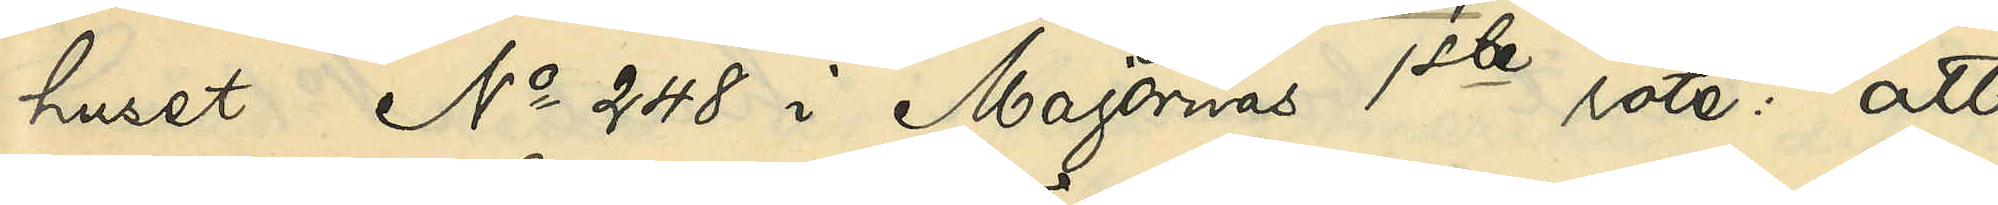huset No 248 i Majornas 1ste rote: att
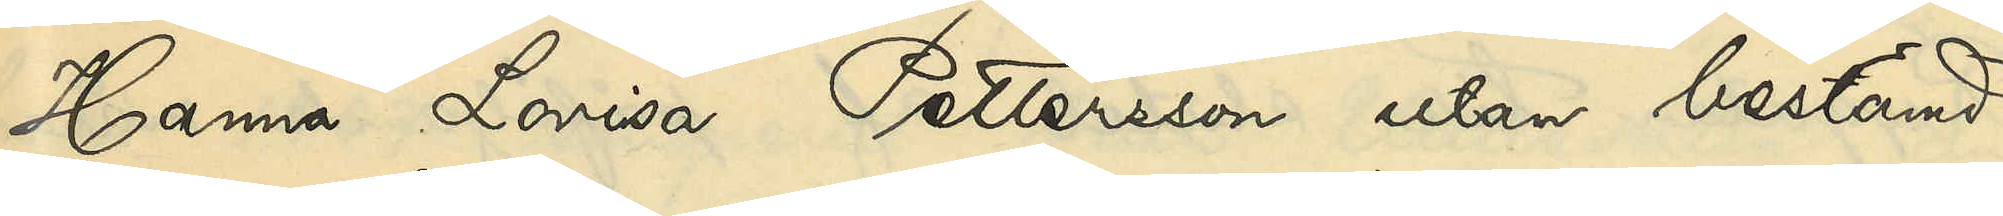Hanna Lovisa Pettersson utan bestämd
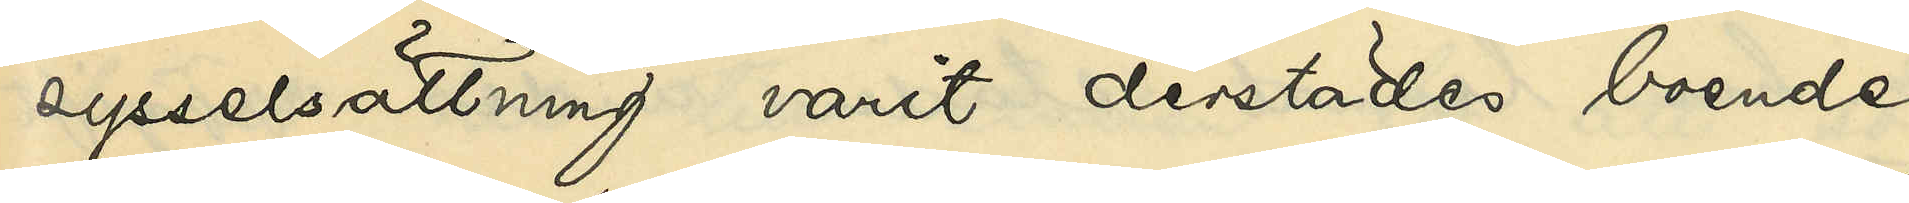sysselsättning varit derstädes boende
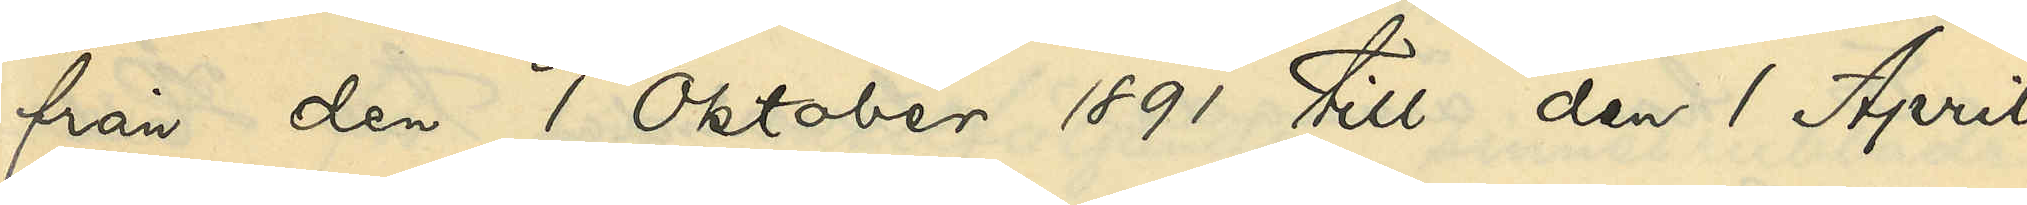från den 1 Oktober 1891 till den 1 April
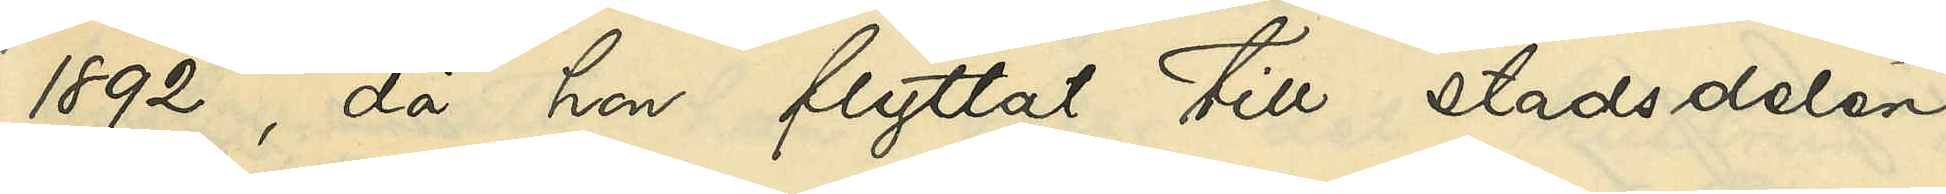1892, då hon flyttat till stadsdelen
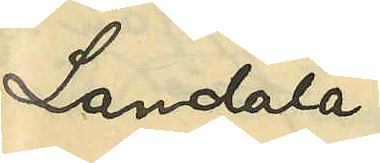Landala.
